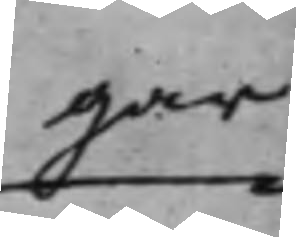gar
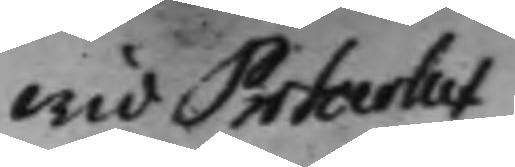wid Protocollet
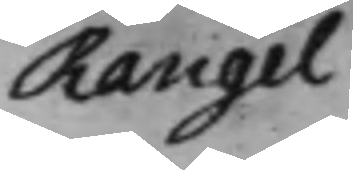Rangel
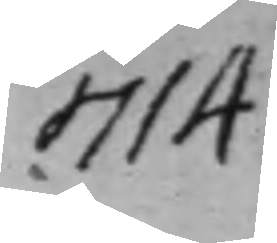714
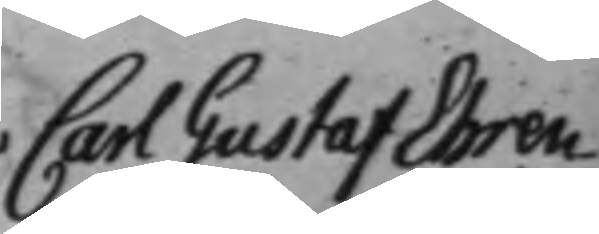Carl Gustaf Ehren¬
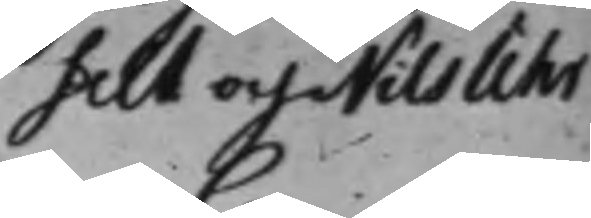felt och Nils Uhr
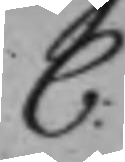C:
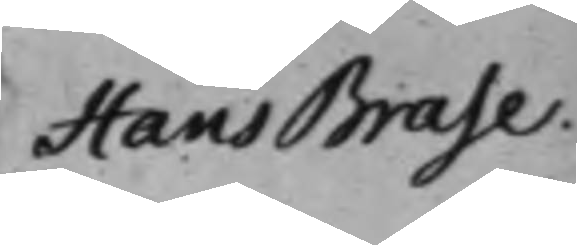Hans Brase.
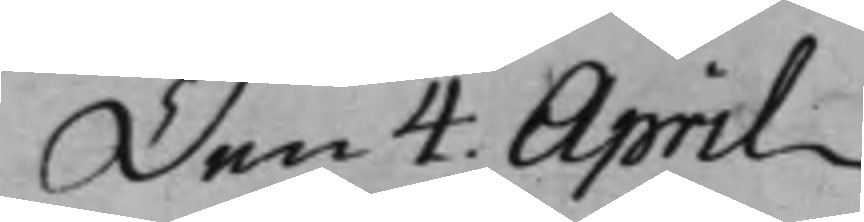Den 4. April
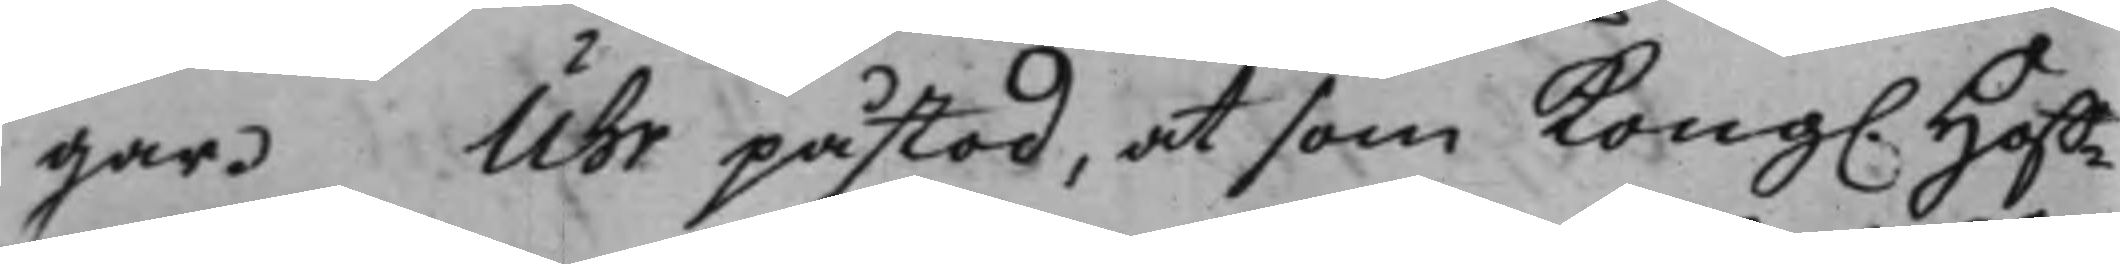gar. Uhr påstod, at som Kong. Hoff¬
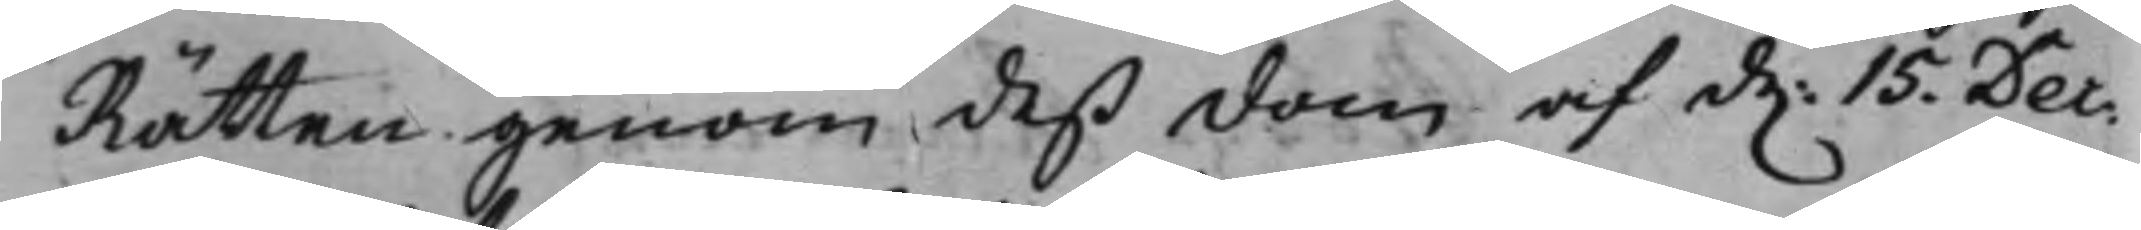Rätten genom deß dom af d. 15. Dec:
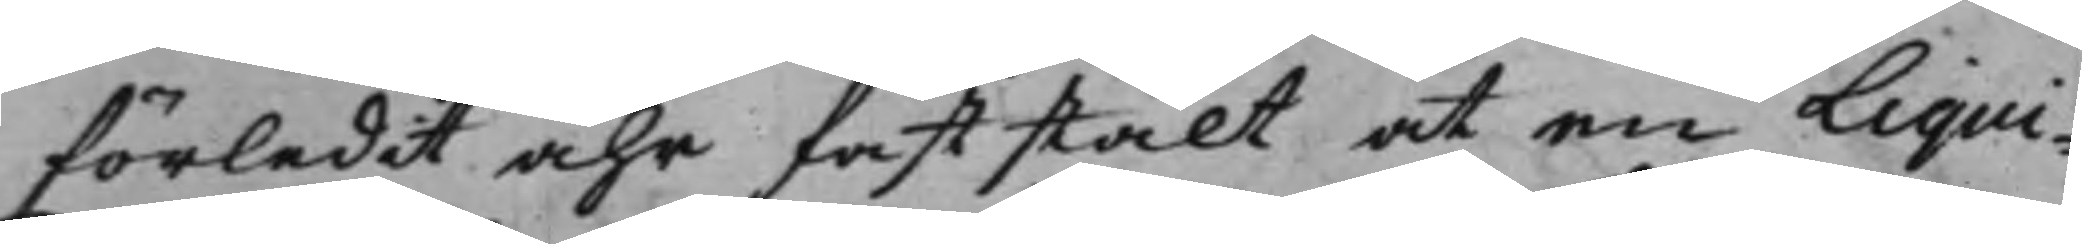förledit åhr faststält at en Liqui¬
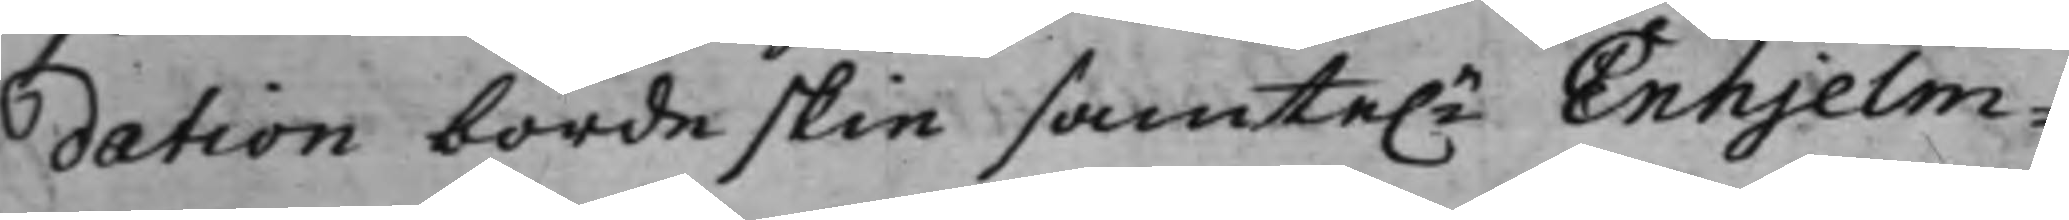dation borde skie samte.e Enhjelm¬
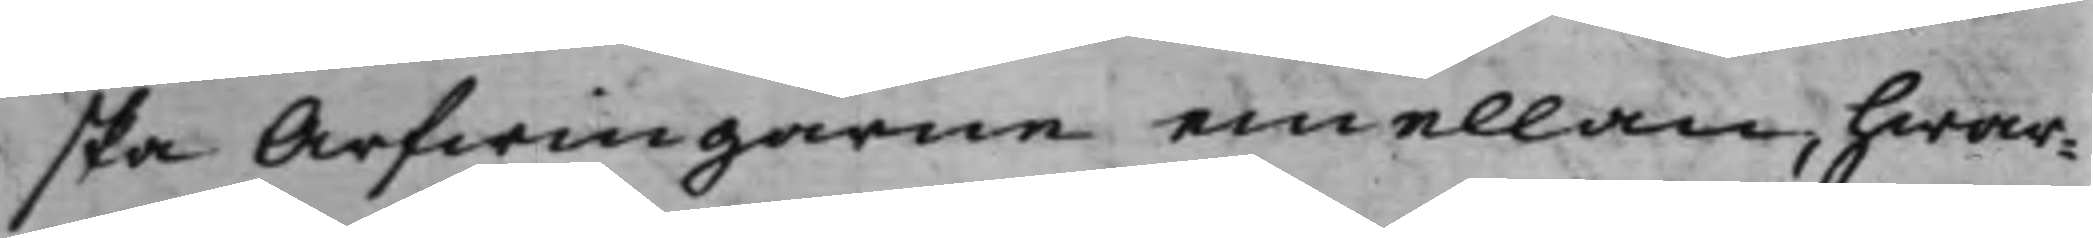ska Arfwingarne emellan, hwar¬
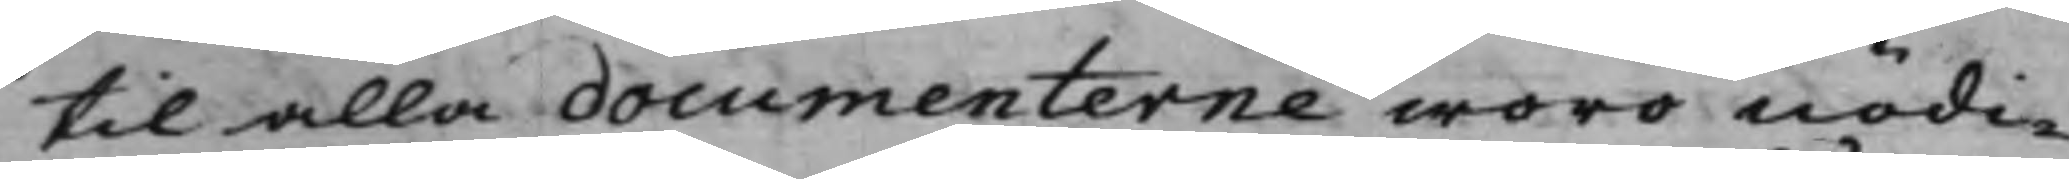til alla documenterne woro nödi¬
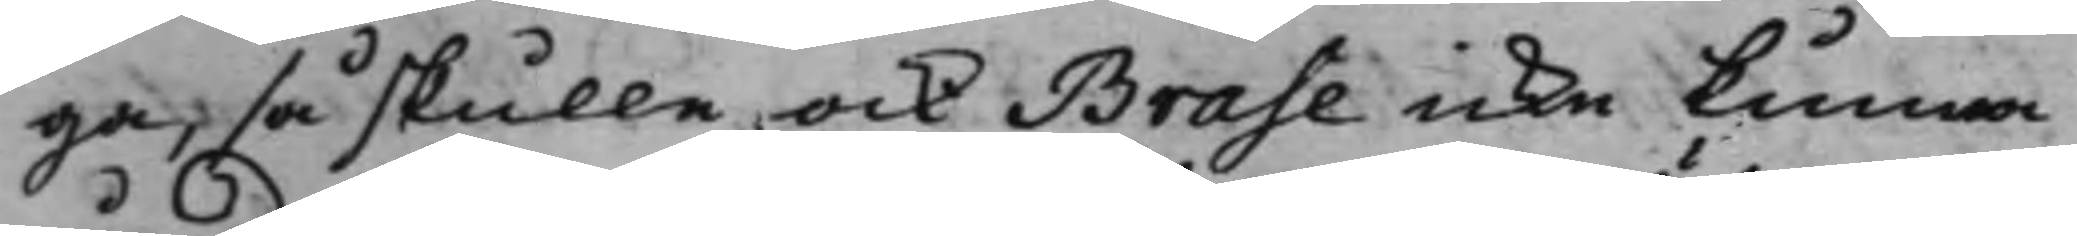ga, så skulle och Bras<e icke kunna
